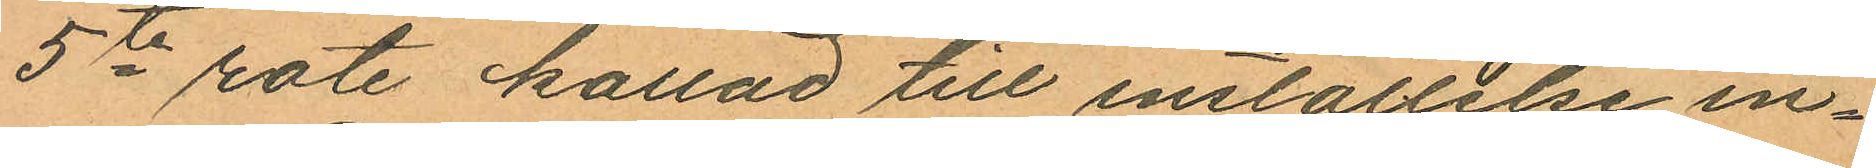5te rote kallad till inställelse in¬
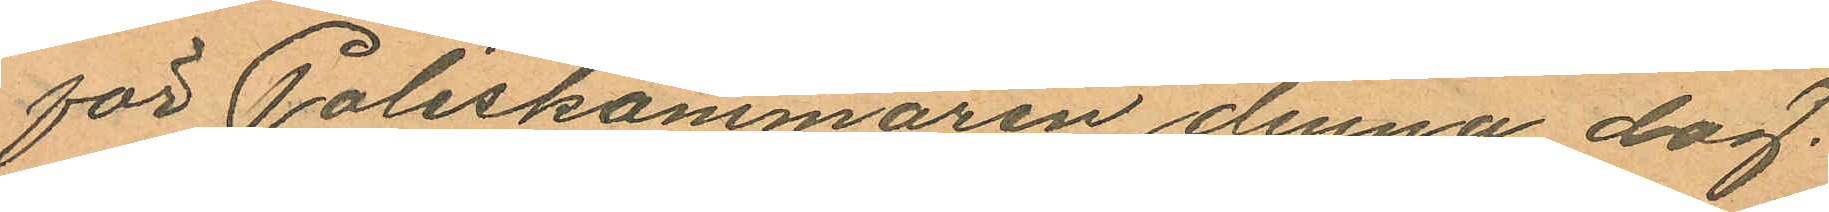för Poliskammaren denna dag.
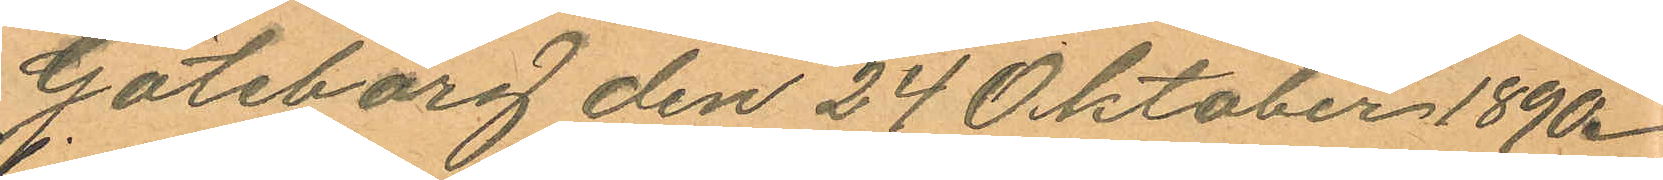Göteborg den 24 Oktober 1890.
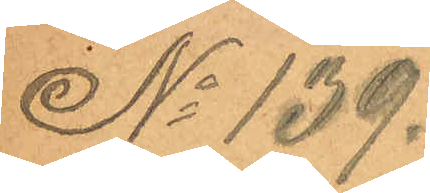No 139.
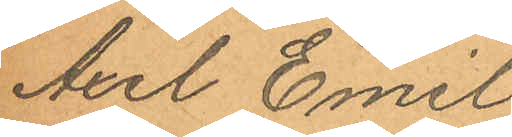Axel Emil
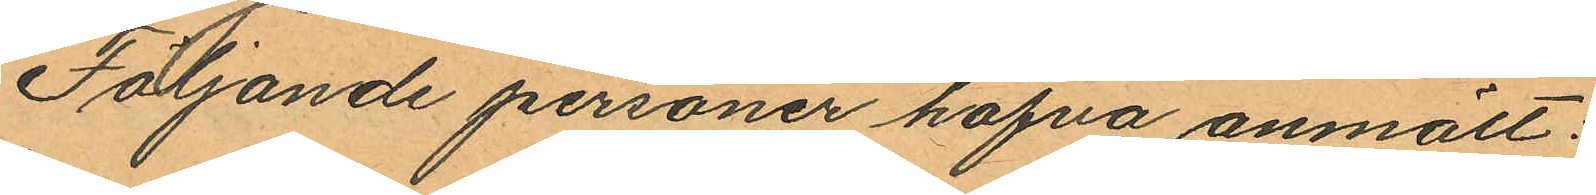Följande personer hafva anmält:
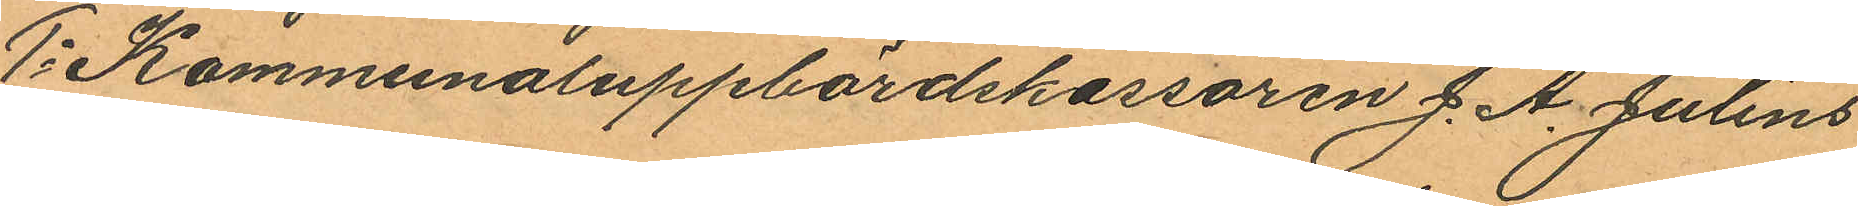1o Kommunaluppbördskassören J. A. Julins
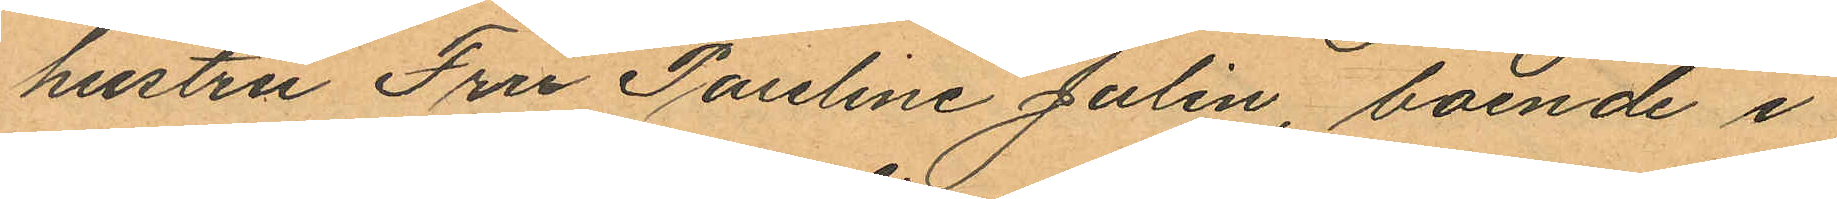hustru Fru Pauline Julin, boende i
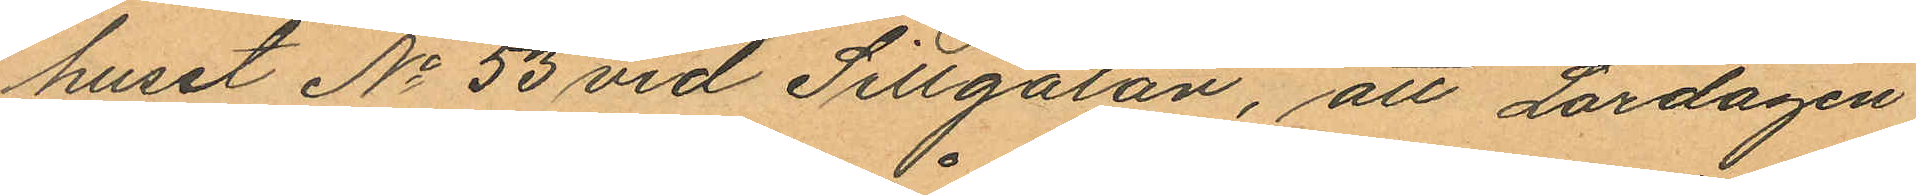huset No 53 vid Sillgatan, att Lördagen
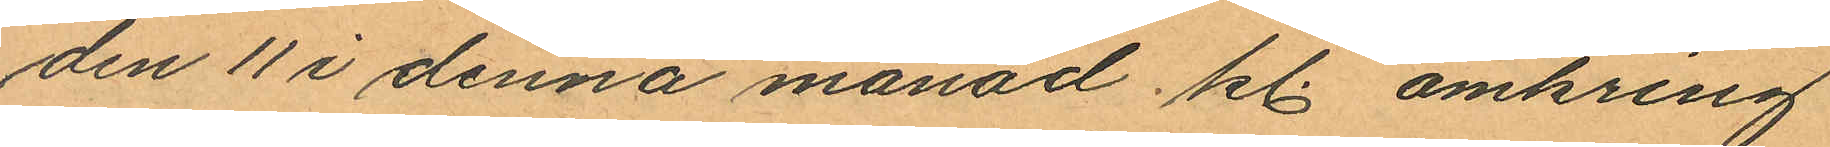den 11 i denna månad kl. omkring
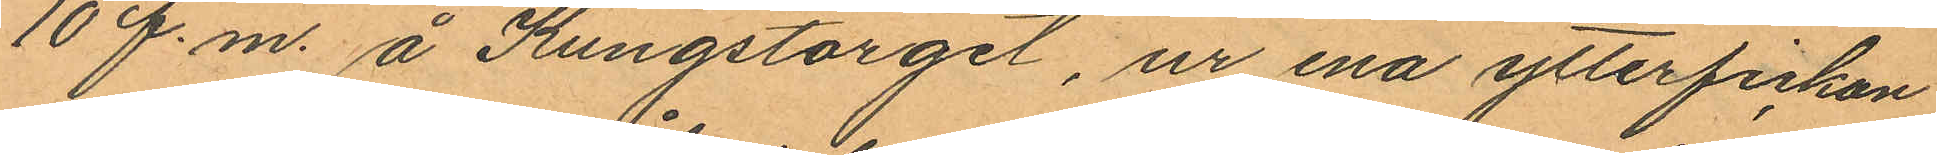10 f.m. å Kungstorget, ur ena ytterfickan
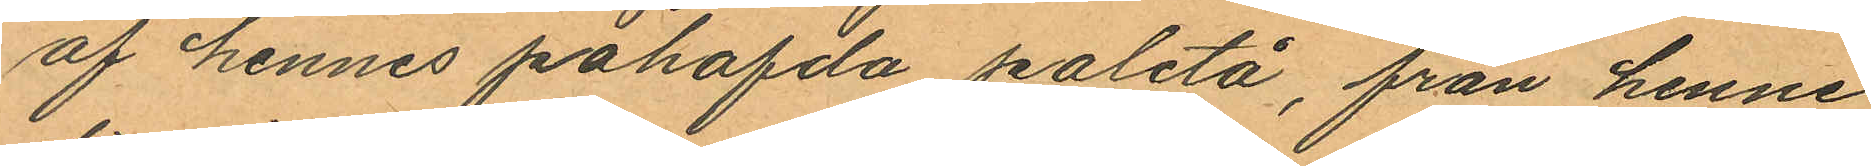af hennes påhafda paletå, från henne
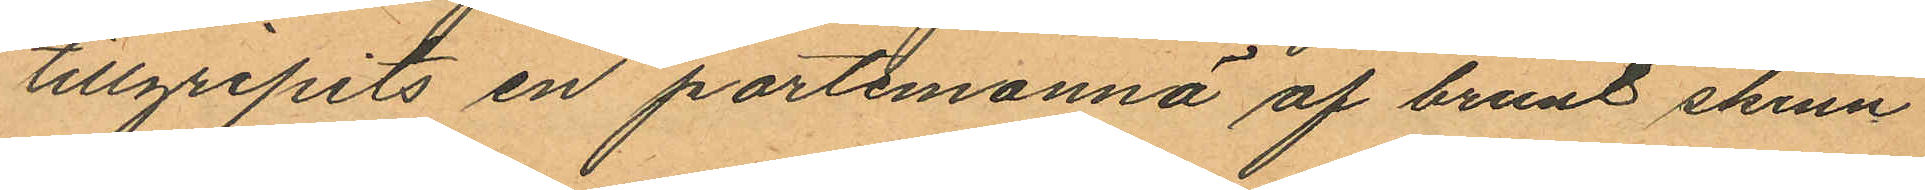tillgripits en portemonnä af brunt skinn
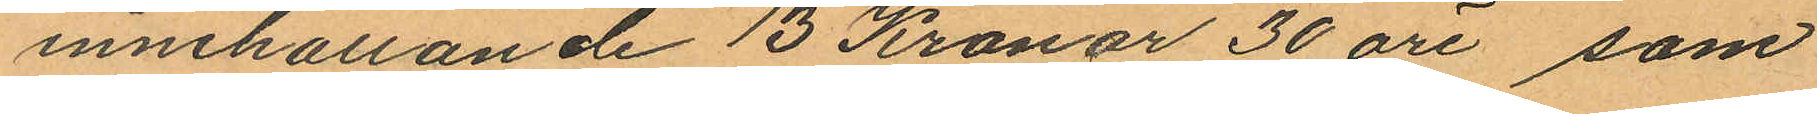innehållande 13 Kronor 30 öre som
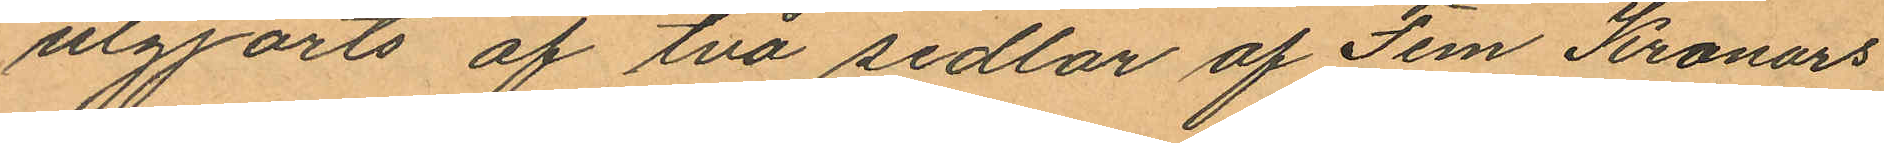utgjorts af två sedlar af Fem Kronors
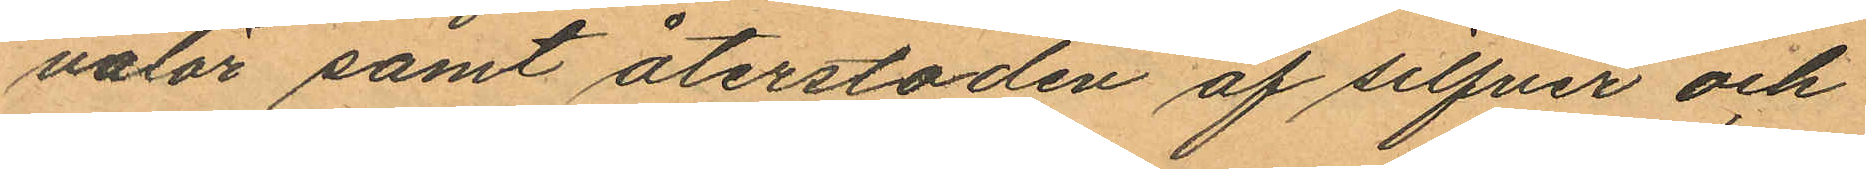valör samt återstoden af silfver och
